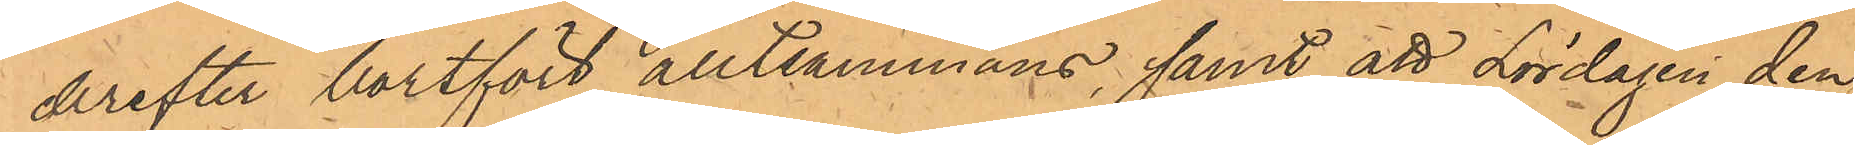derefter bortfört alltsammans, samt att Lördagen den
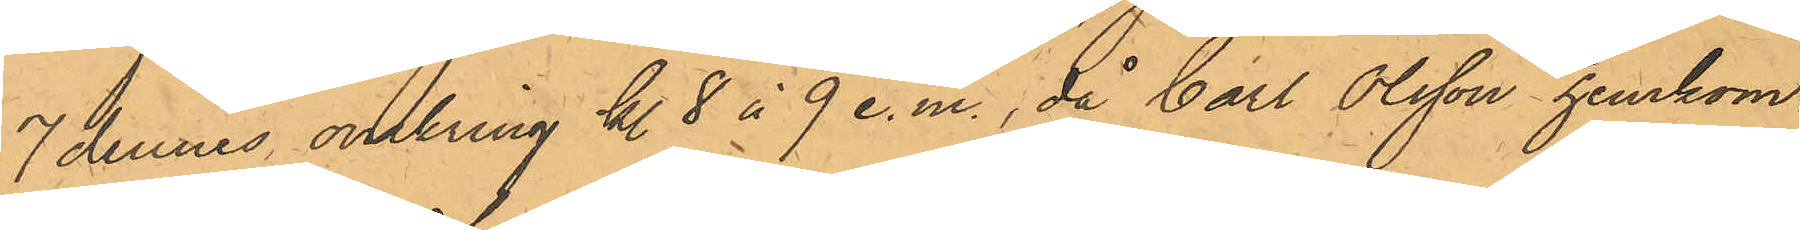7 dennes omkring kl 8 à 9 e.m., då Carl Olsson hemkom¬
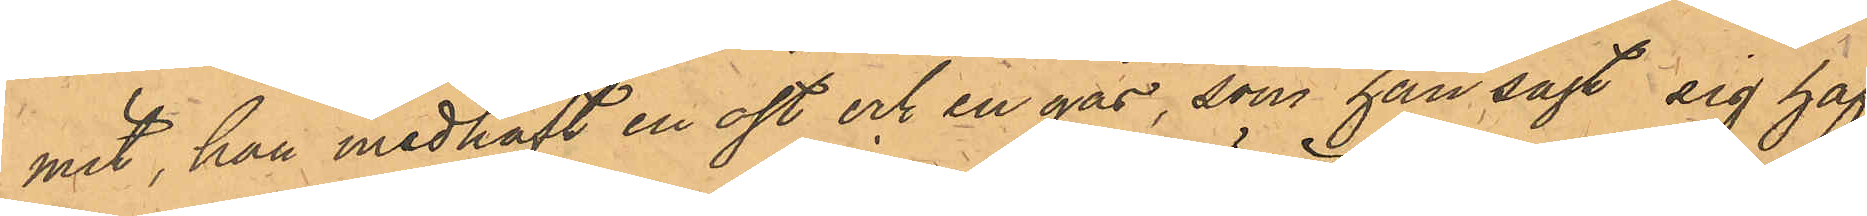mit, han medhaft en ost och en gås, som han sagt sig haf¬
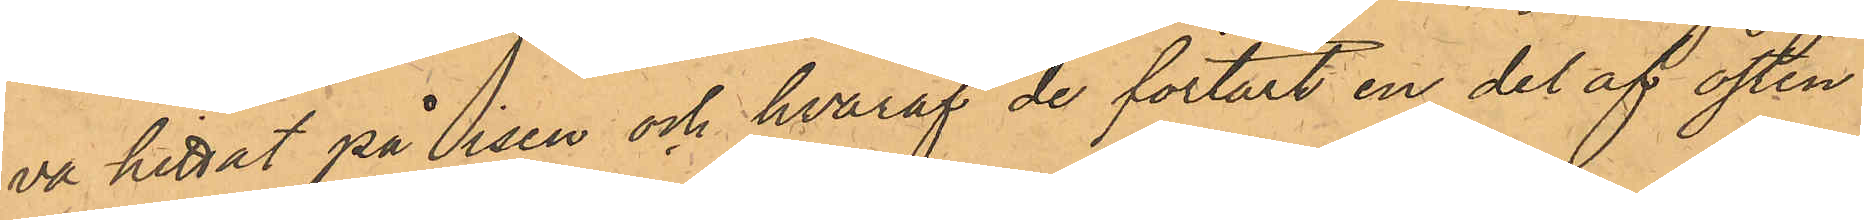va hittat på isen och hvaraf de förtärt en del av osten
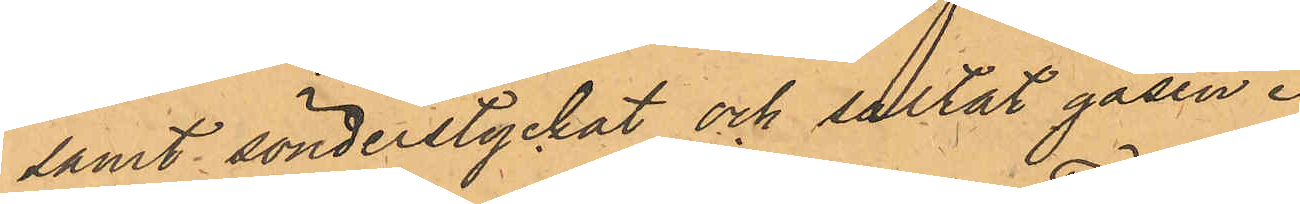samt sönderstyckat och saltat gåsen.
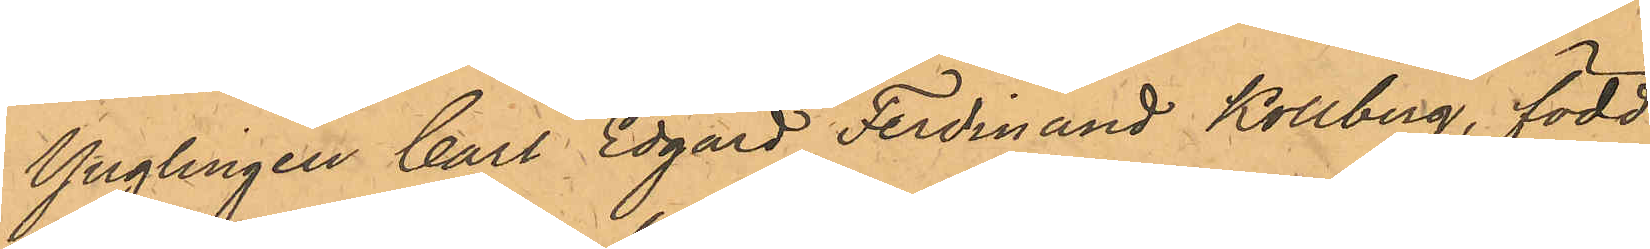Ynglingen Carl Edgard Ferdinand Kollberg, född
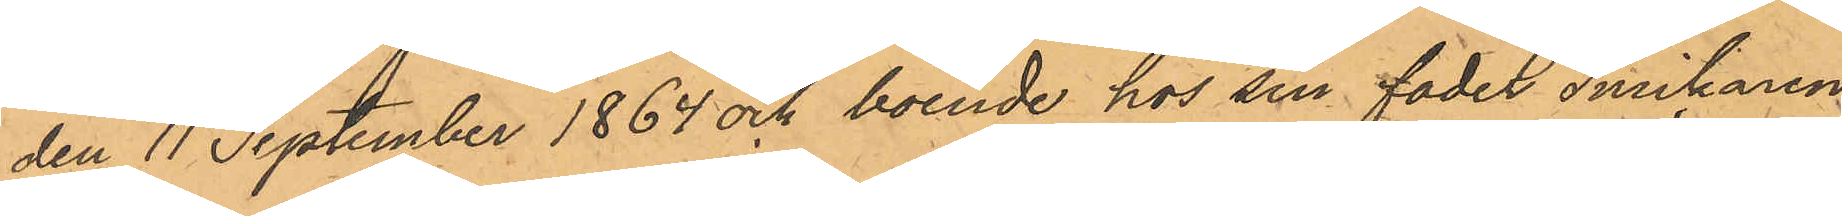den 11 September 1864 och boende hos sin fader Snickaren
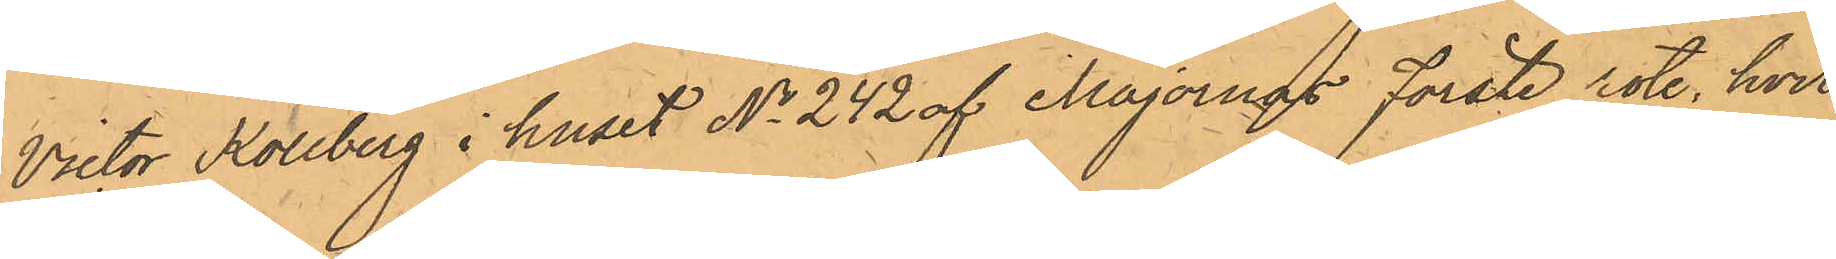Victor Kollberg i huset No 242 af Majornas Förste rote, hvil¬
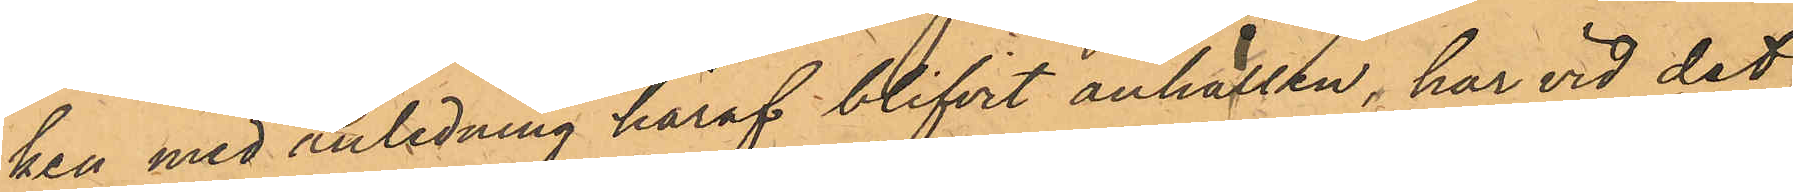ken med anledning häraf blifvit anhållen, har vid det
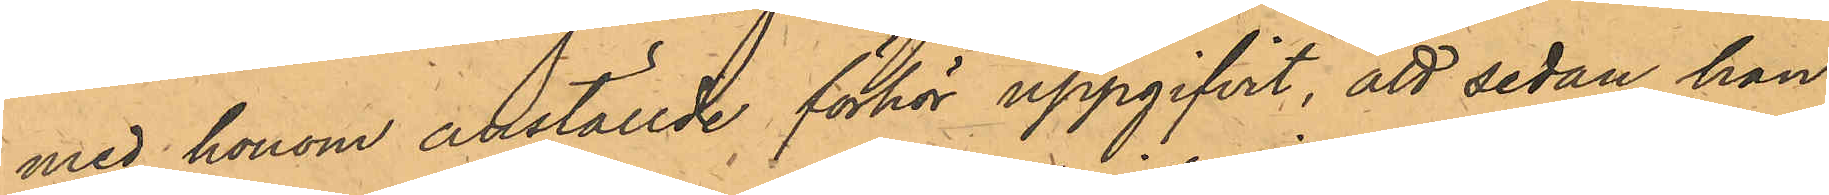med honom anställde förhör uppgifvit, att sedan han
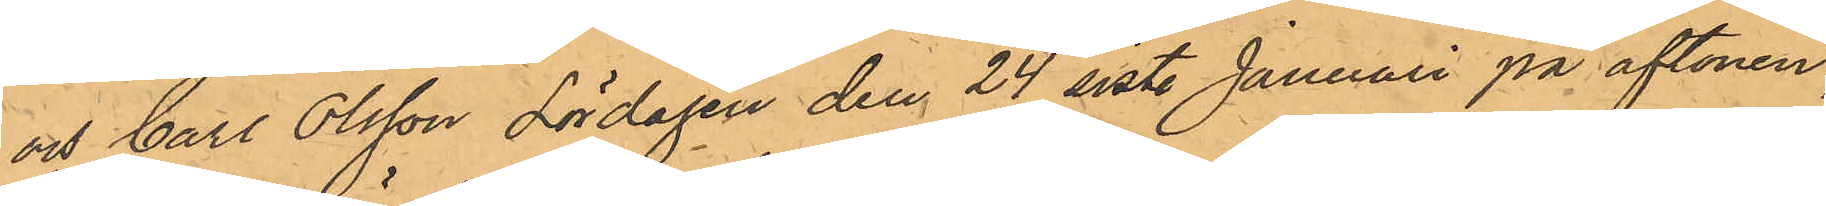och Carl Olsson Lördagen den 24 sist. Januari på aftonen,
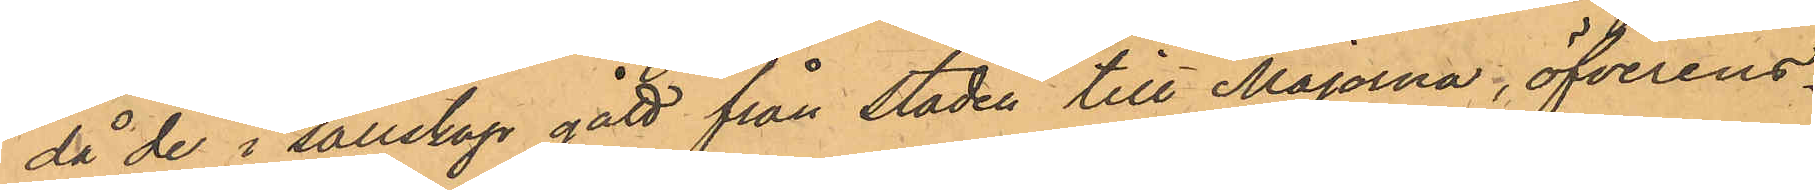då de i sällskap gått från staden till Majorna, öfverens¬
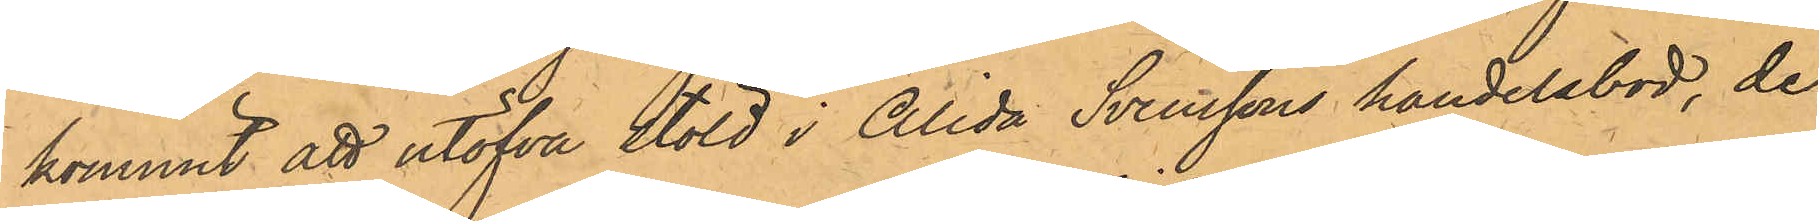kommit att utöfva stöld i Alida Svenssons handelsbod, de
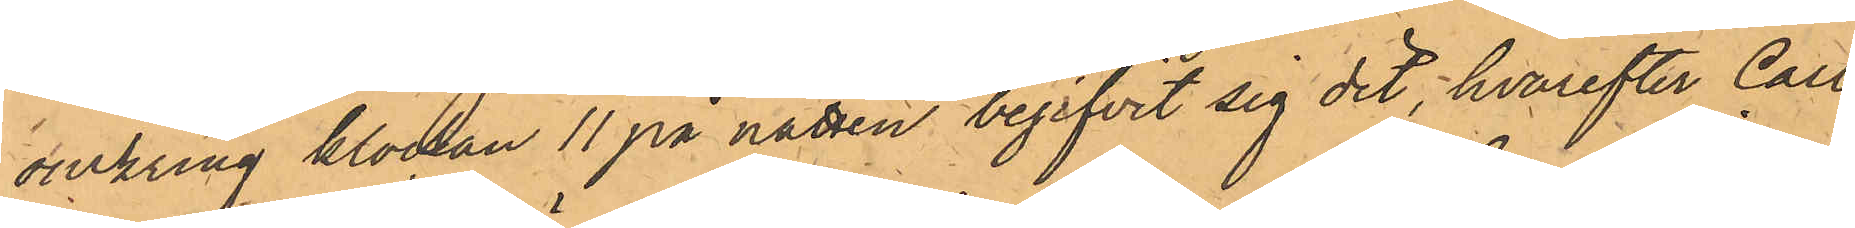omkring klockan 11 på natten begifvit sig dit, hvarefter Carl
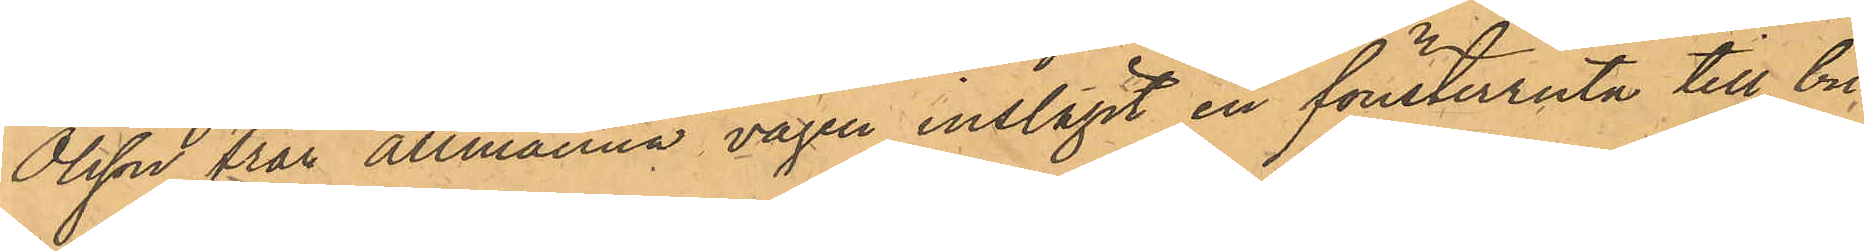Olsson från Allmänna vägen inslagit en fönsterruta till bu¬
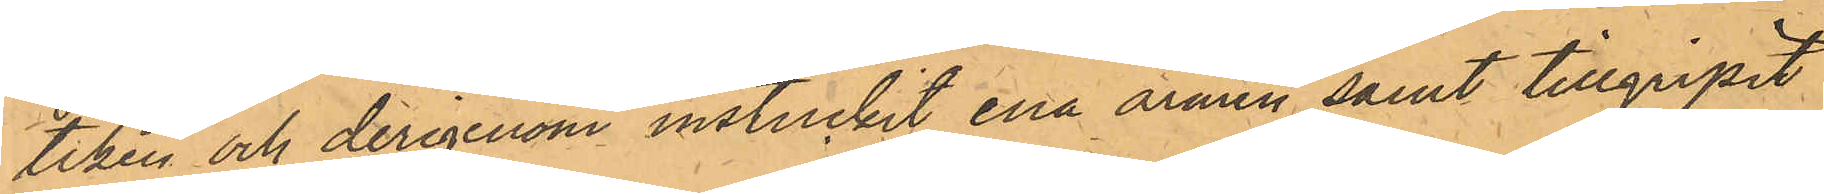tiken och derigenom instuckit ena armen samt tillgripit 
